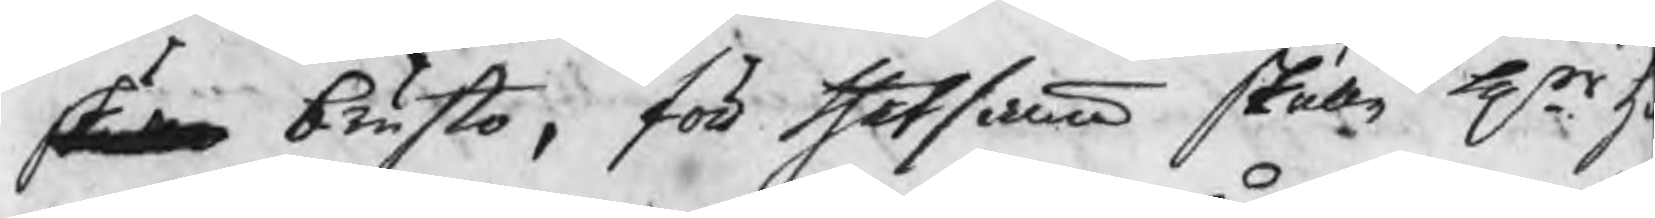skulle brusto, för thetsamma skulle Hrr h
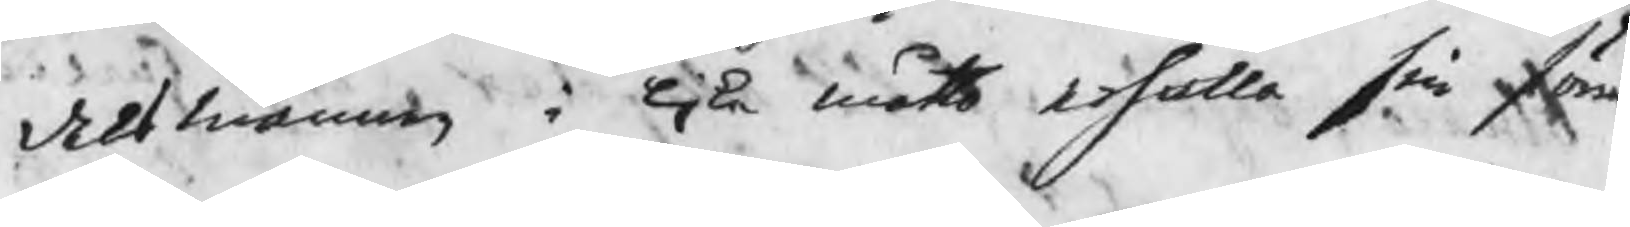delsmännen i lika måtto erhålla sin förn
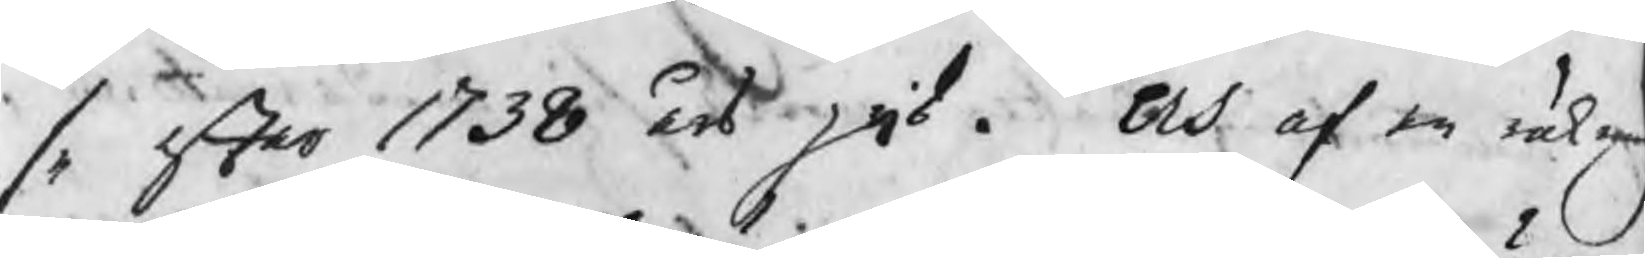se efter 1738 års pris. Och af en räkn
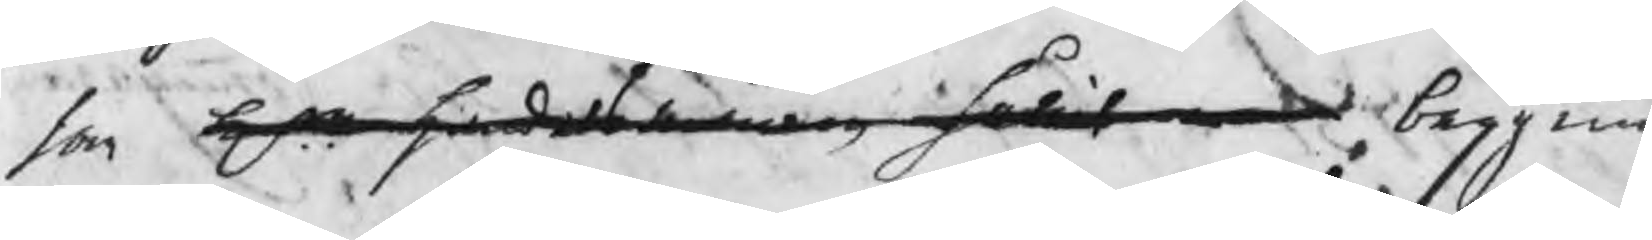som Hrr handelsmännen hållit begynn
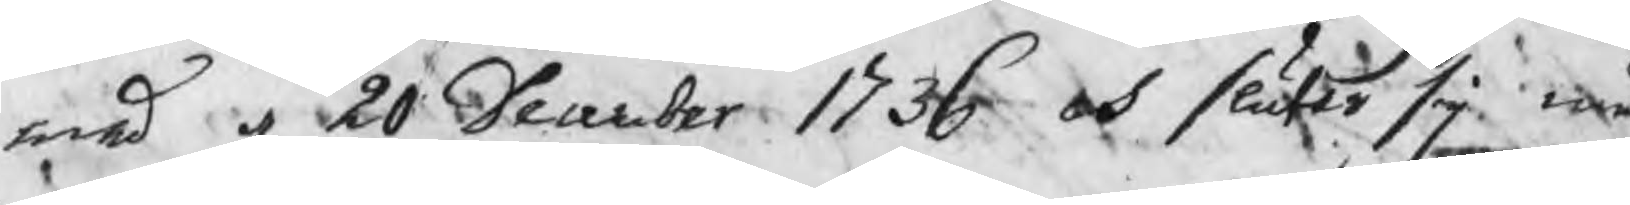med d 20 December 1736 och sluter sig må
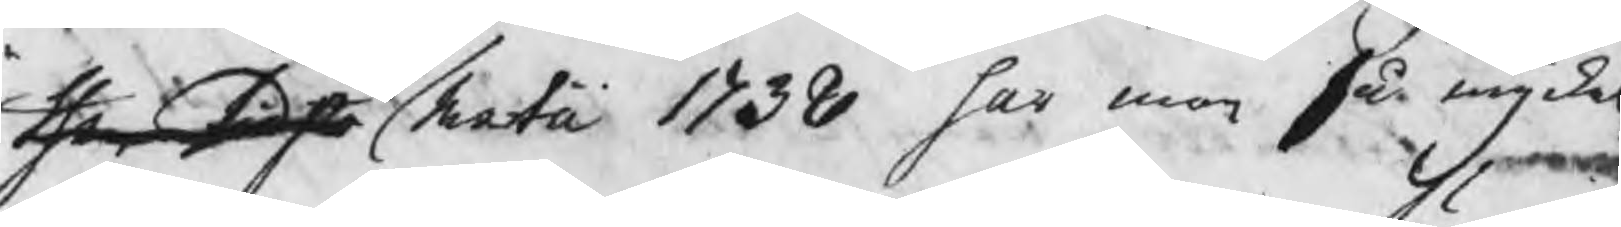then sidsta martii 1738 har man så mycket
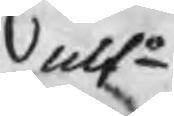nlto
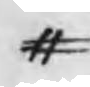#
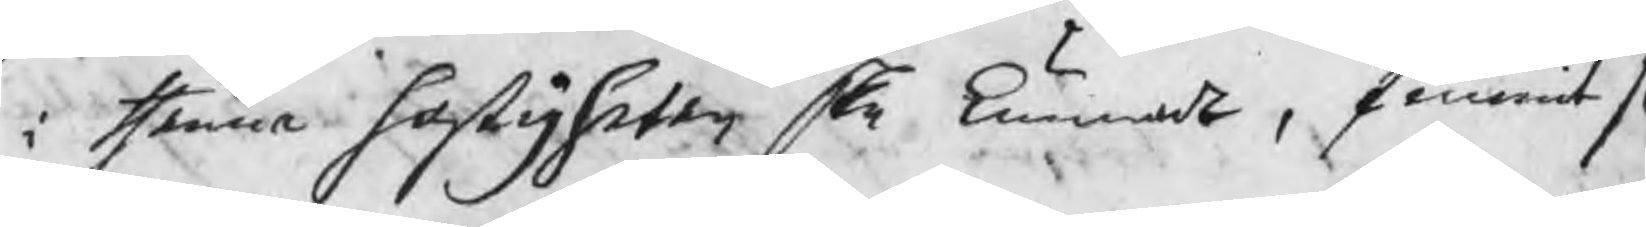i thenna hastigheten ske kunnat, funnit s
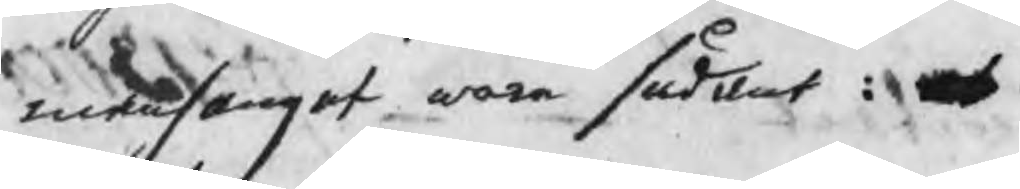manhanget wara sådant:
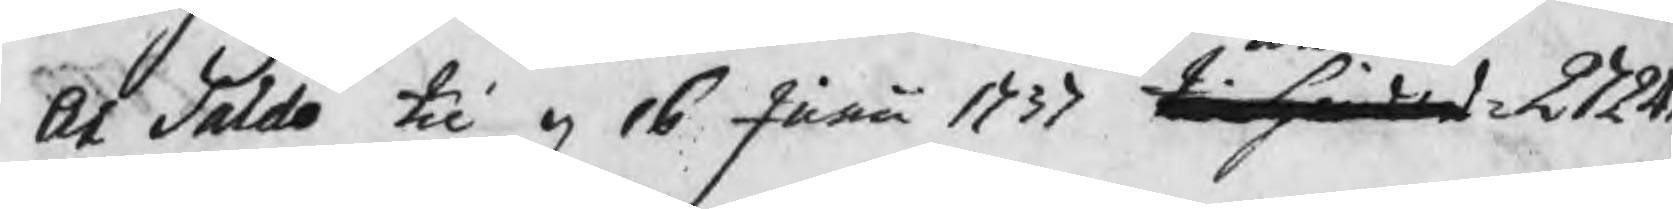At saldo til d 16 Junii 1737 til hinders 2724
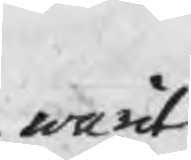warit
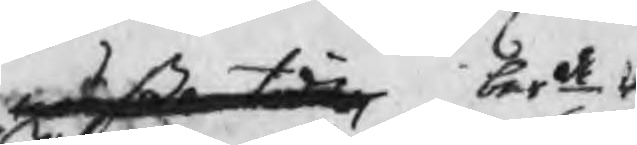mäßo tiden berde
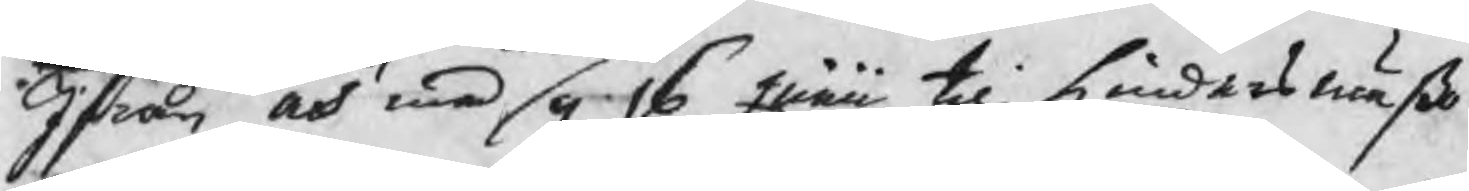Ifrån och med g 16 Junii til hindersmäßo
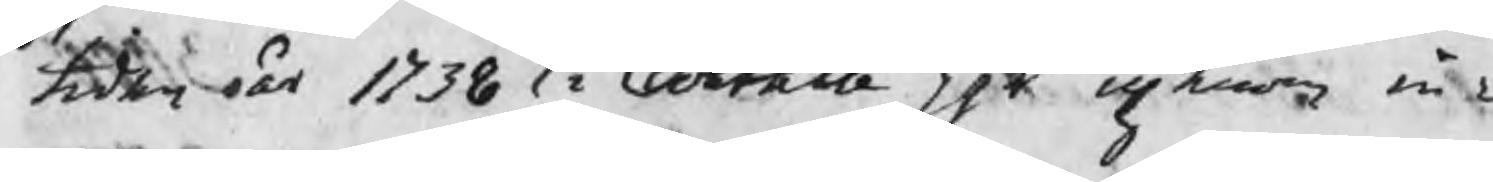tiden år 1738 i Contante pgr upkomne in¬
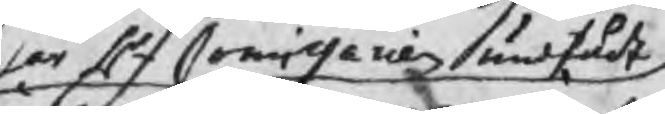har Hr Commissarien undfådt
